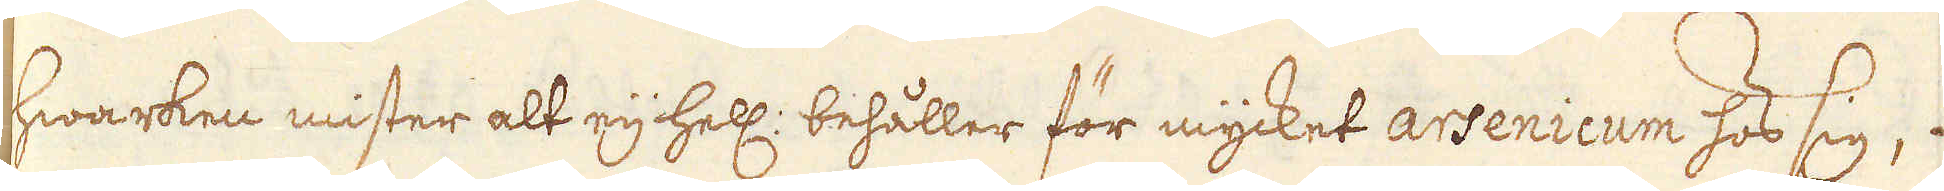hwarken mister alt eij hell: behåller för mycket arsenicum hos sig, 
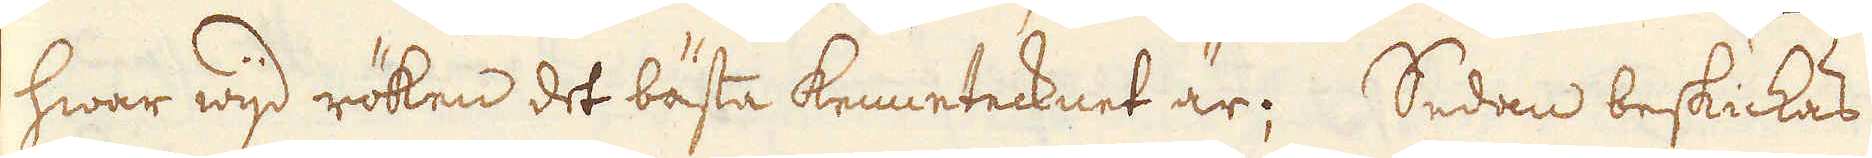hwar wijd röken det bästa kennetecknet är; Sedan beskickas
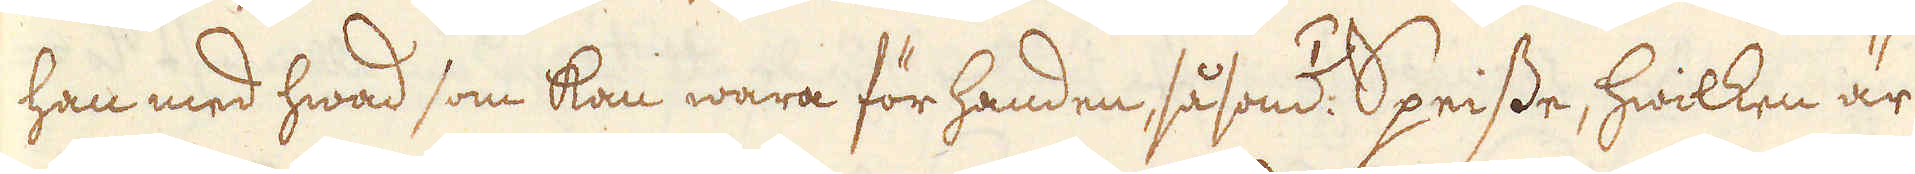han med hwad som kan wara för handen, så som /1/ Speisse, hwilken är
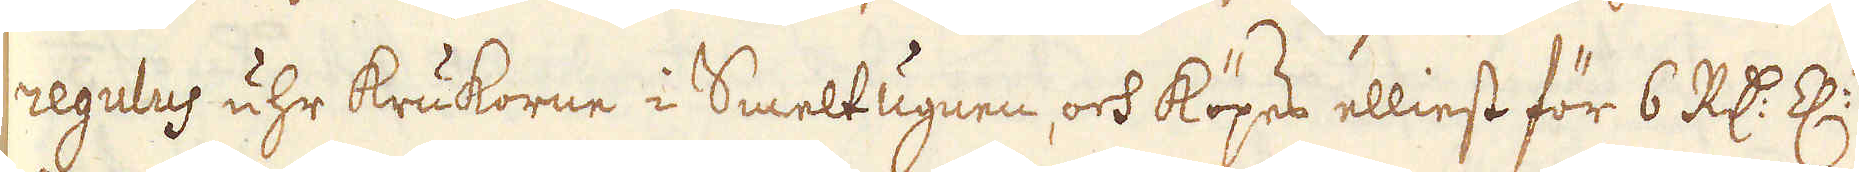regulus uhr krukorne i Smelt Ugnen, och köpes elliest för 6 R:dr Z:n
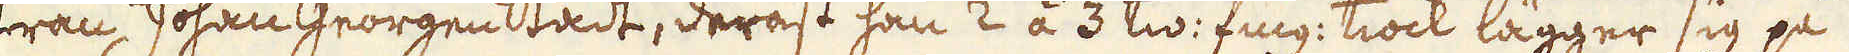från Johan Georgen Stadt, deräst han 2 á 3 tw: fing: tiock lägger sig på
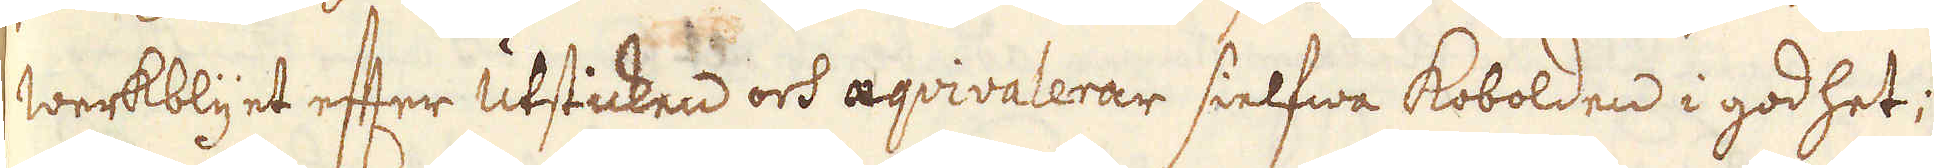werkblyet efter utsticken och aqvivalerar sielfwa Kobolden i godhet;
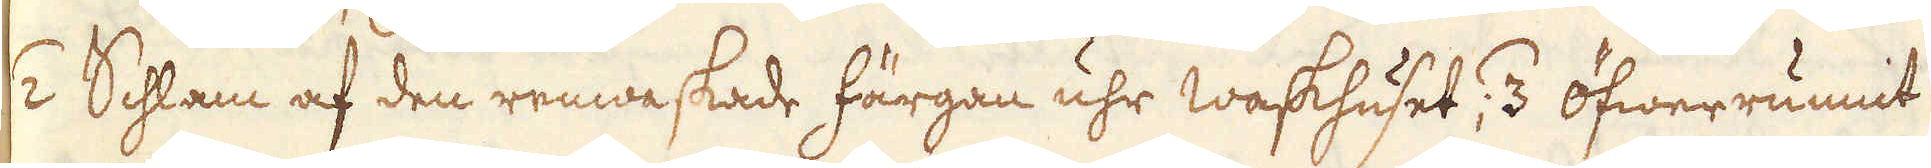/2 Schlam af den renwaskade färgan uhr Waskhuset; /3 öfwerrunnit
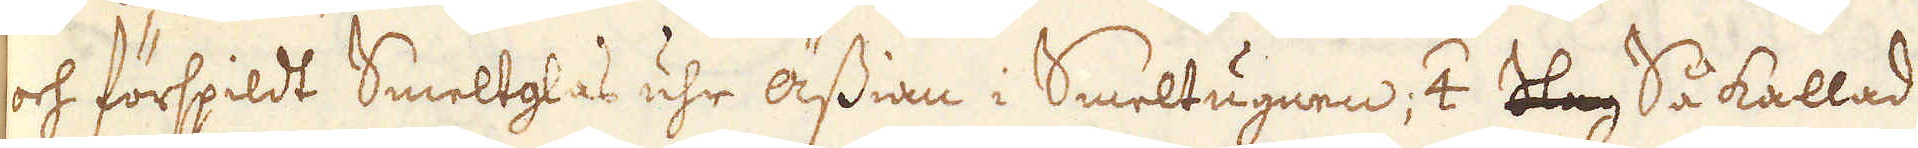och förspildt Smeltglas uhr ässian i Smeltugnen; /4 Slag Så kallad
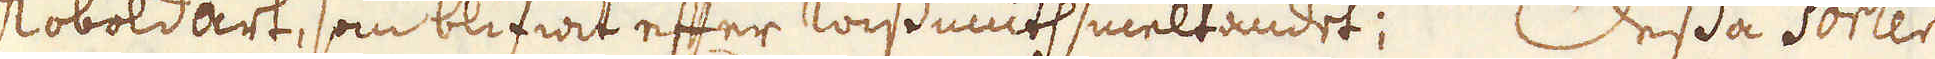Koboldart, som blifwit efter wissmuth smeltandet; Dessa sorter
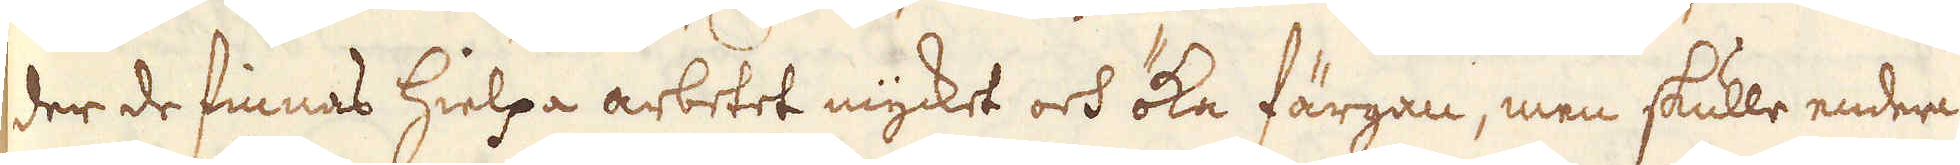der de finnas hielpa arbetet mycket och öka färgan, men skulle endera
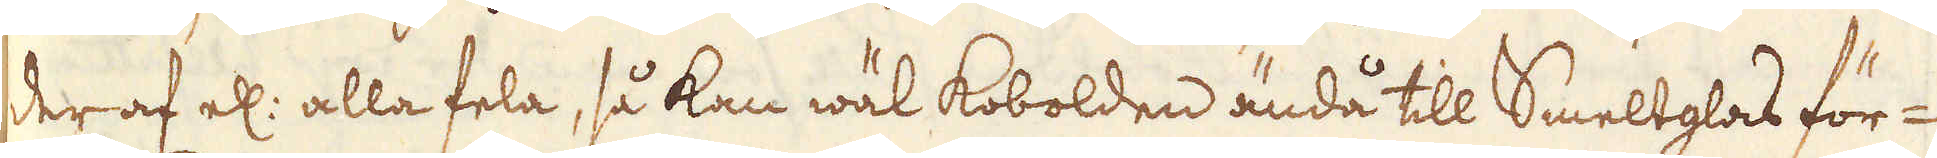der af el: alla fela, så kan wäl Kobolden ändå till Smeltglas för-
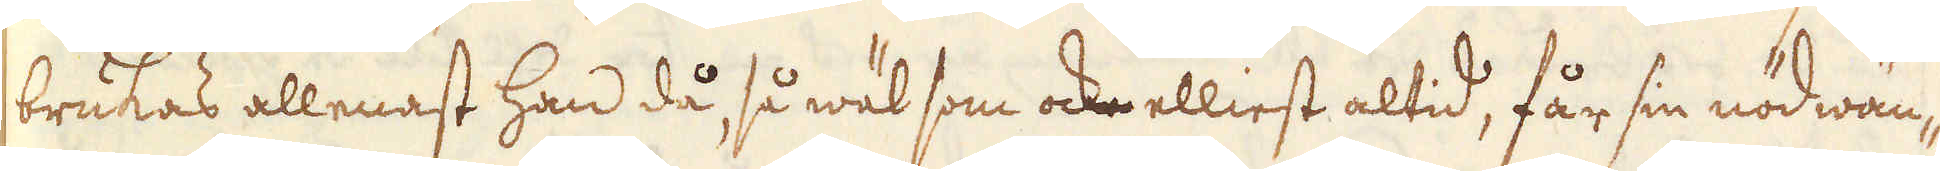brukas allenast han då, så wäl som ock elliest altid, får sin nödwän-
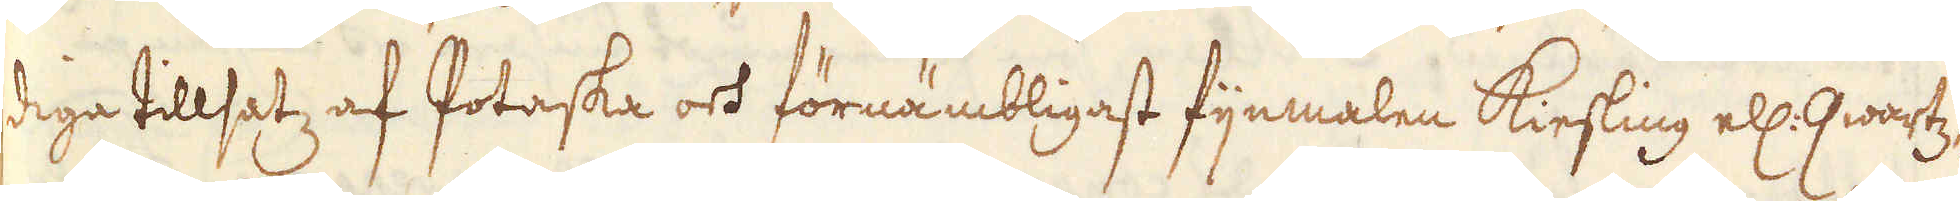diga tillsatz af Potaska och förnämbligast fijnmalen Kiesling ell: qwartz
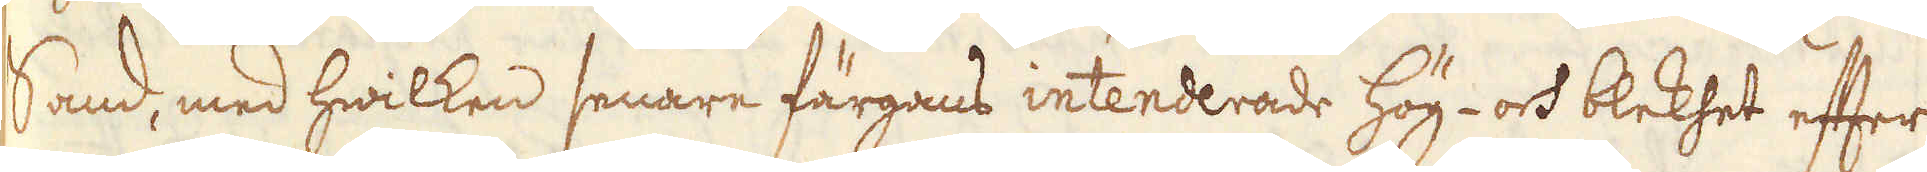Sand, med hwilken senare färgans intenderade hög- och blekhet efter
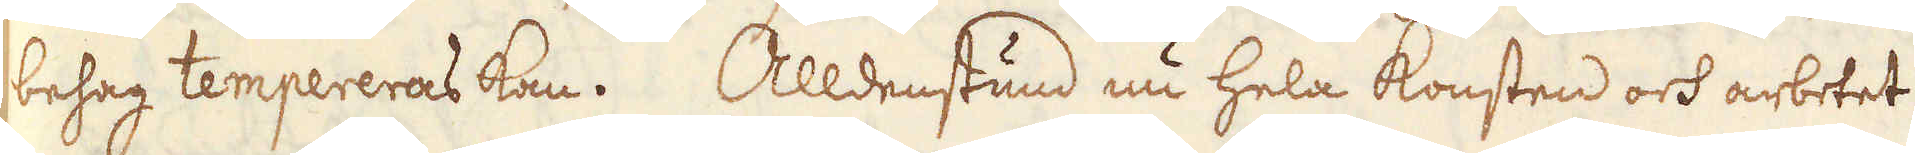behag tempereras kan. Alldenstund nu hela Konsten och arbetet
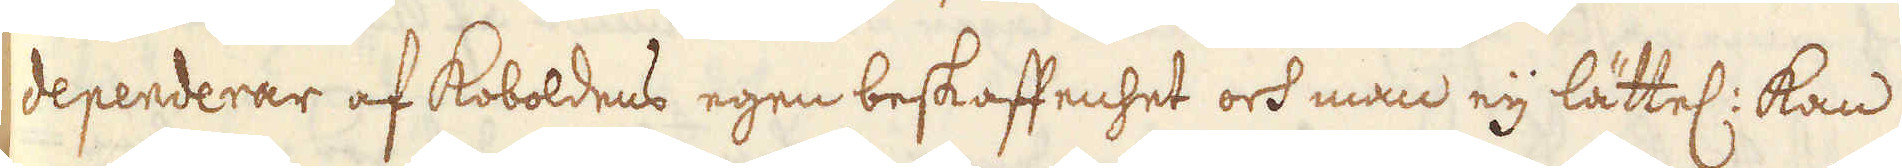dependerar af Koboldens egen beskaffenhet och man eij lättel: kan
